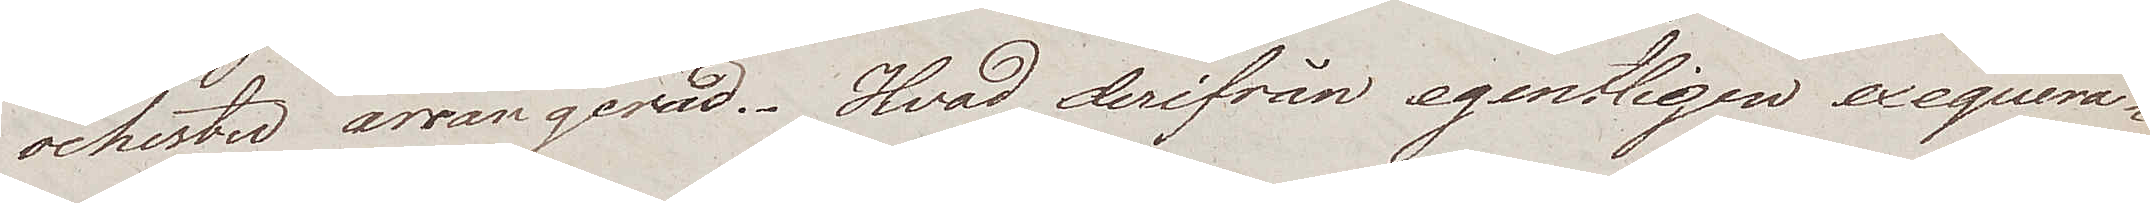ochester arrangerad. Hvad derifrån egentligen exequera¬
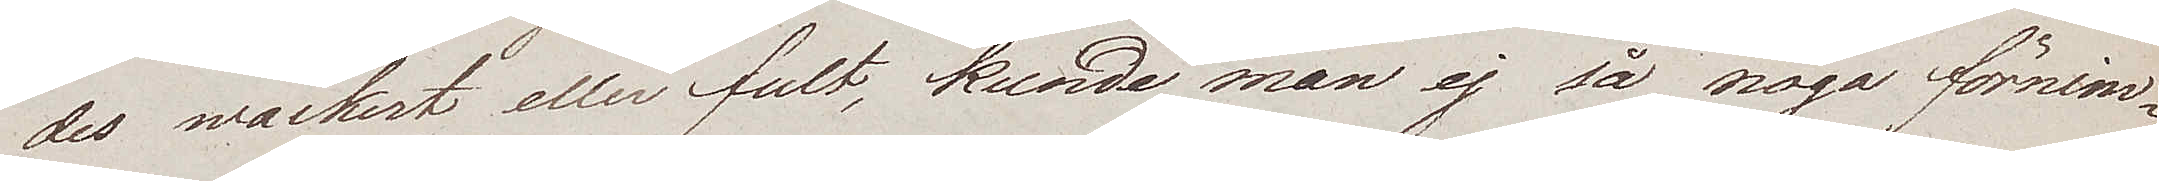des wackert eller fult, kunde man ej så noga förnim¬
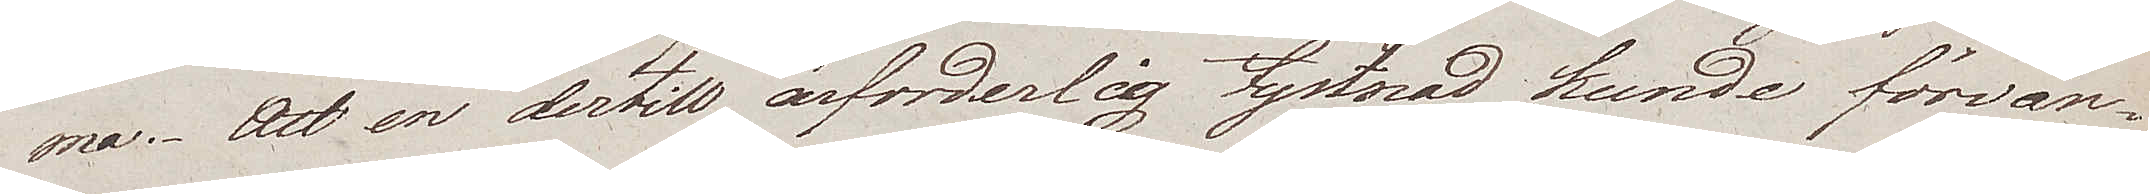ma. Att en dertill ärforderlig tystnad kunde förvän¬
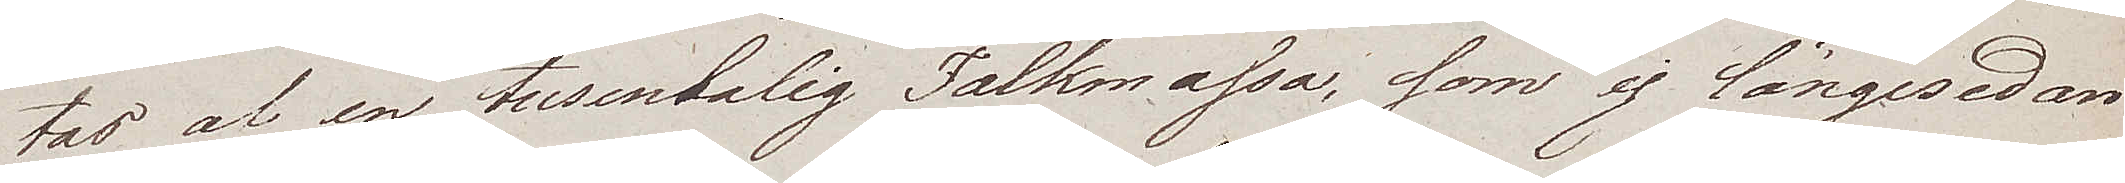tas af en tusentalig Folkmassa, som ej längesedan
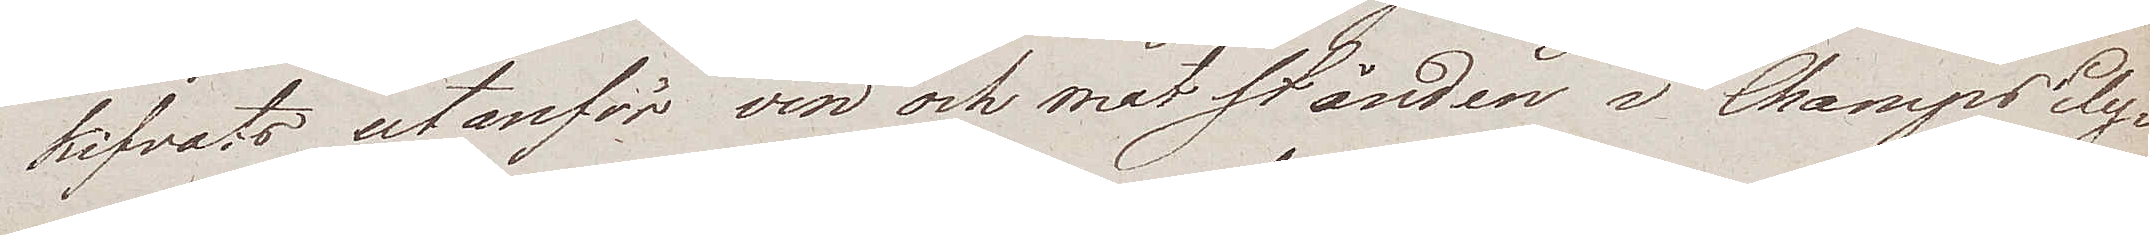kifvats utanför vin och matstånden i Champs Ely¬
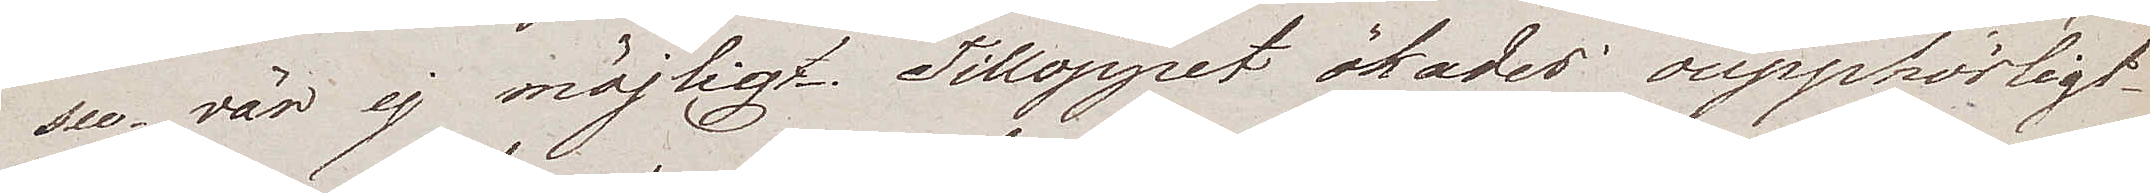see vär ej möjligt. Tilloppet ökades oupphörligt
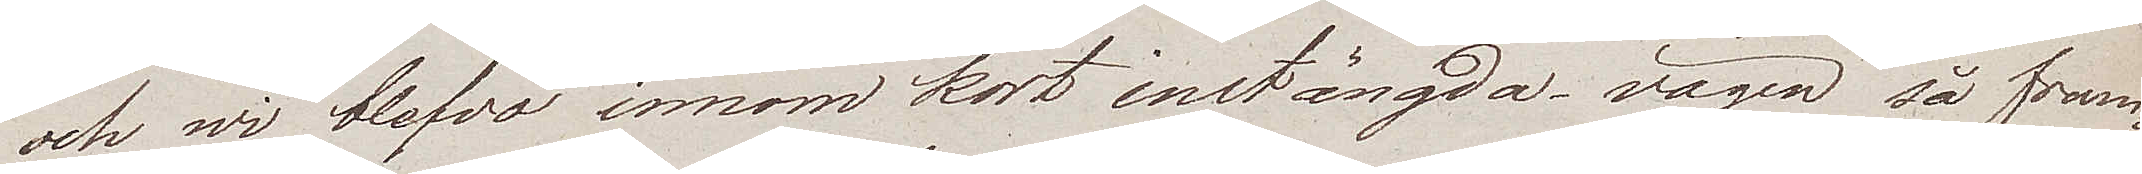och wi blefvo innom kort instängda – vägen så fram
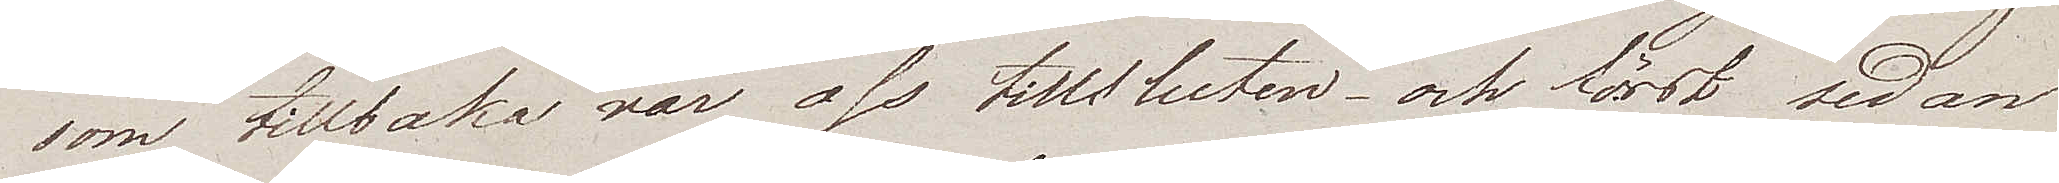som tillbaka var oss tillsluten och först sedan
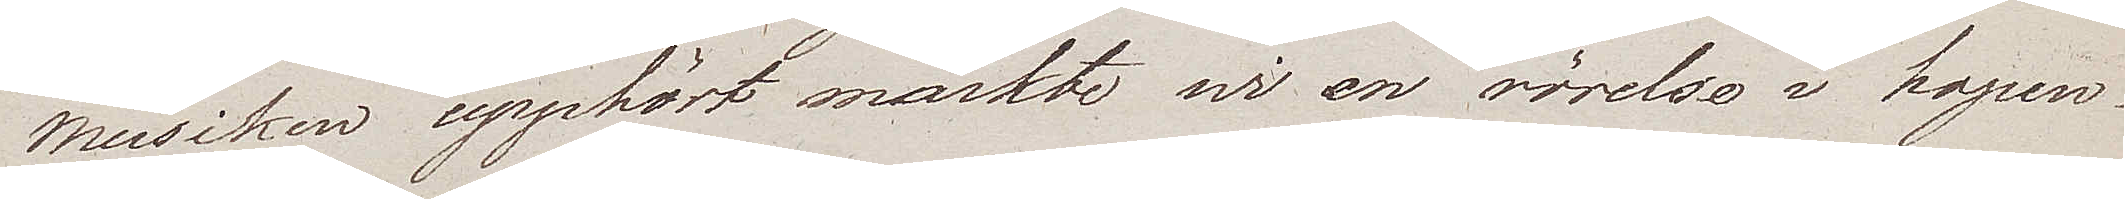musiken upphört märkte wi en rörelse i hopen.
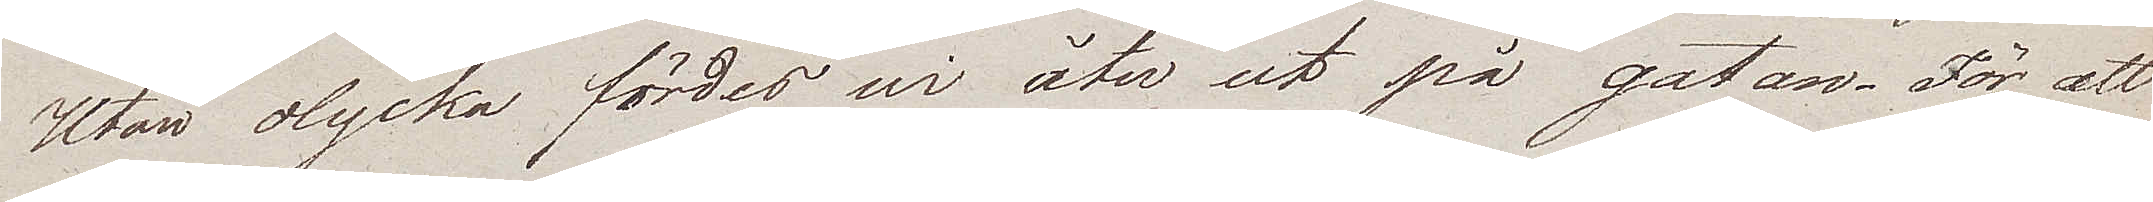Utan olycka fördes wi åter ut på gatan. För att
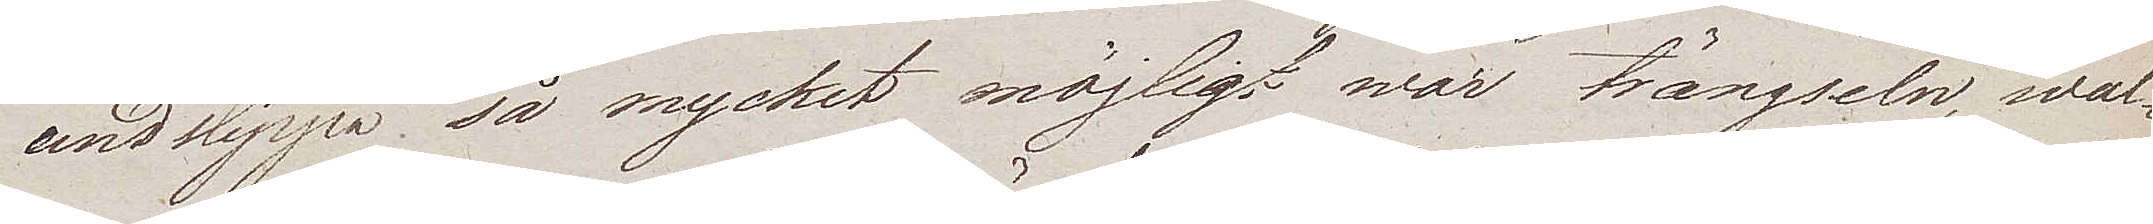undslippa så mycket möjligt war trängseln, wal¬
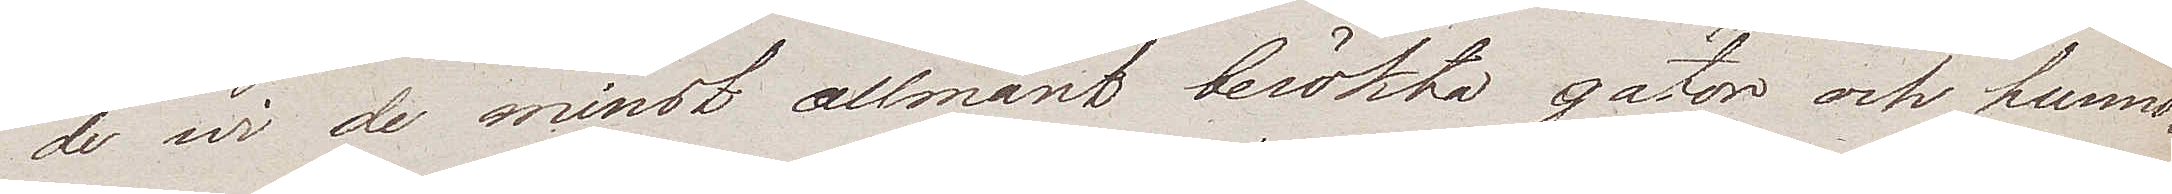de wi de minst allmänt besökta gator och hunno
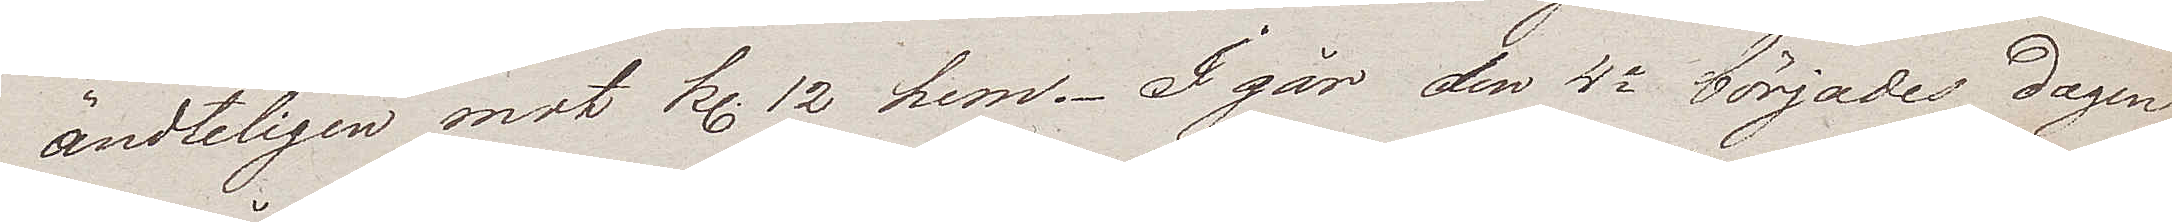ändteligen mot Kl. 12 hem. I går den 4e börjades dagen
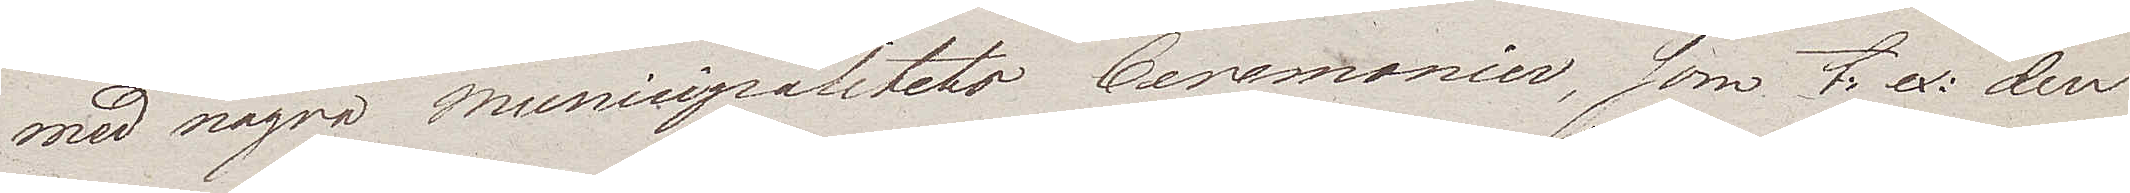med några municipalitets Ceremonier, som t. ex. den
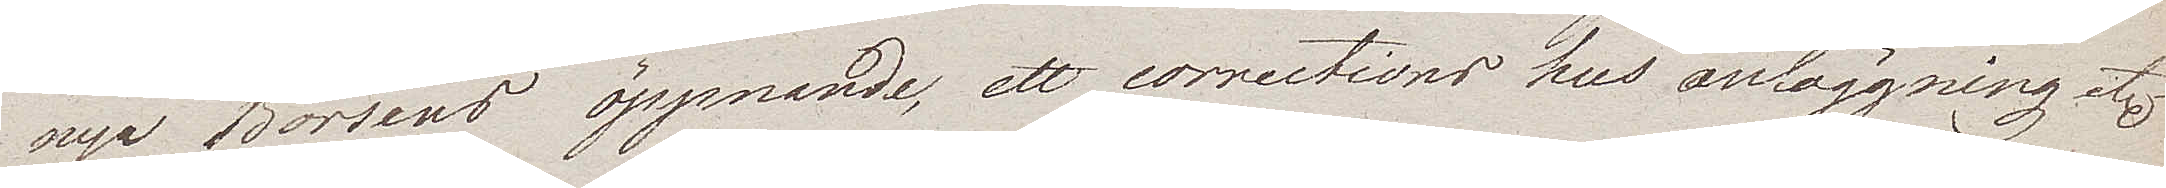nya Börsens öppnande, ett corrections hus anläggning etc.
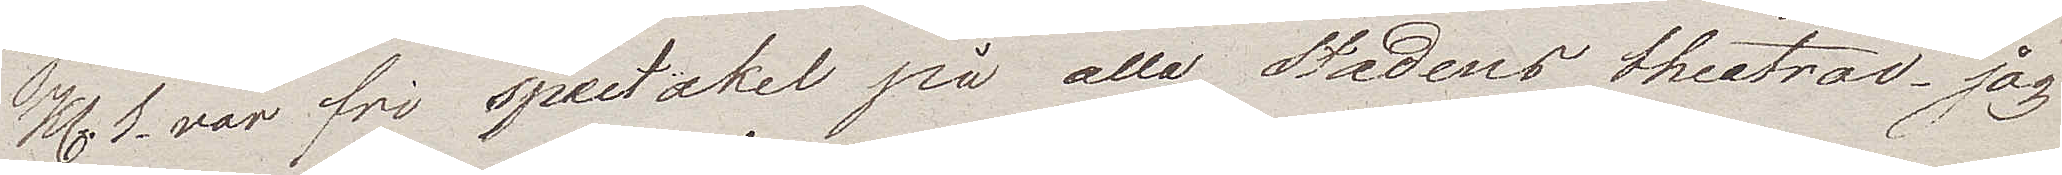Kl. 1 var fri spectakel på alla Stadens theatrar. jag
